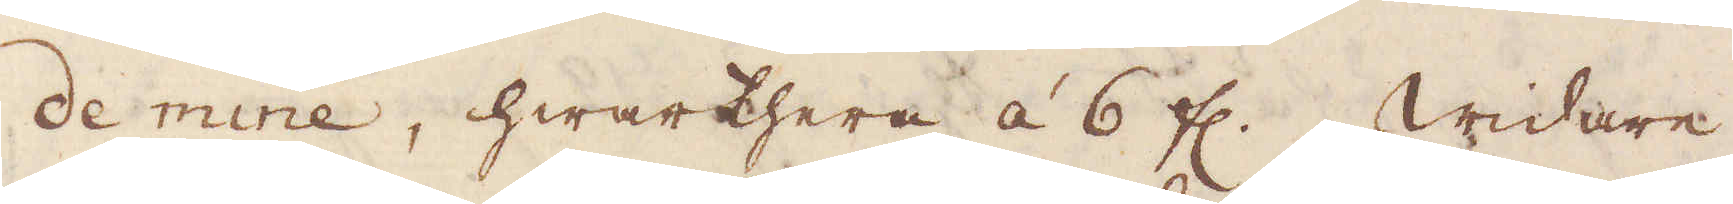de mine, hwartere á 6 fl. Widare
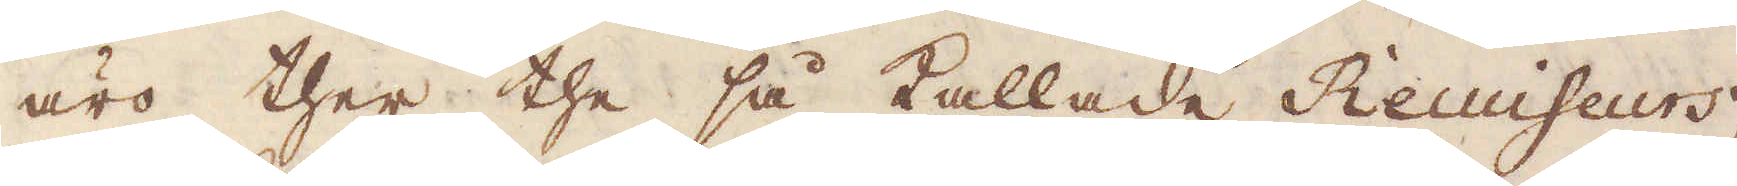äro ther the så kallade Recuiseurs,
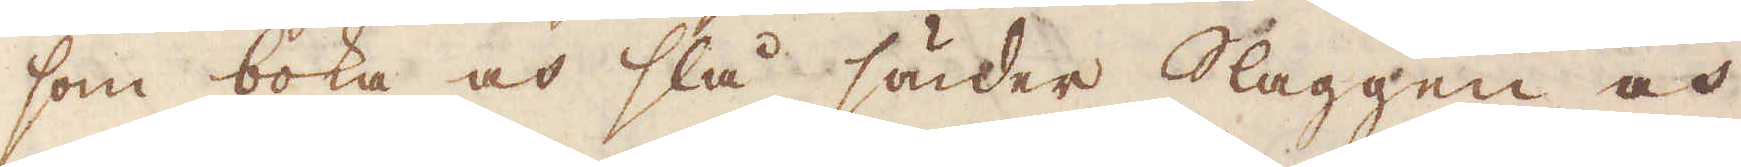som boka och slå sönder Slaggen och
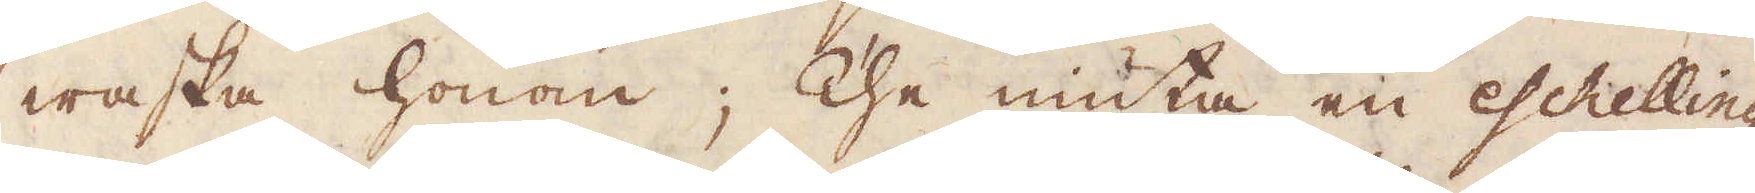waska honom; The niuta en eschelling
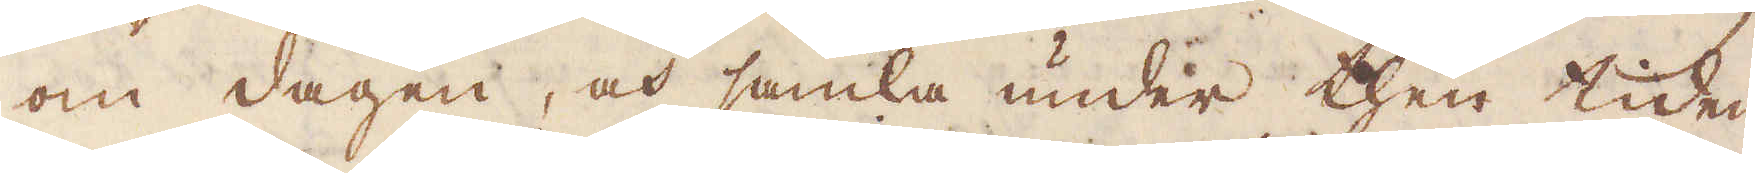om dagen, och samla under then tiden
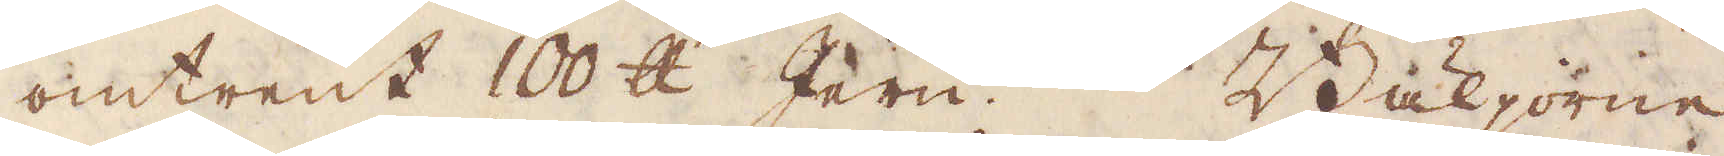omtrent 100 skålpund Jern. Bäljorne
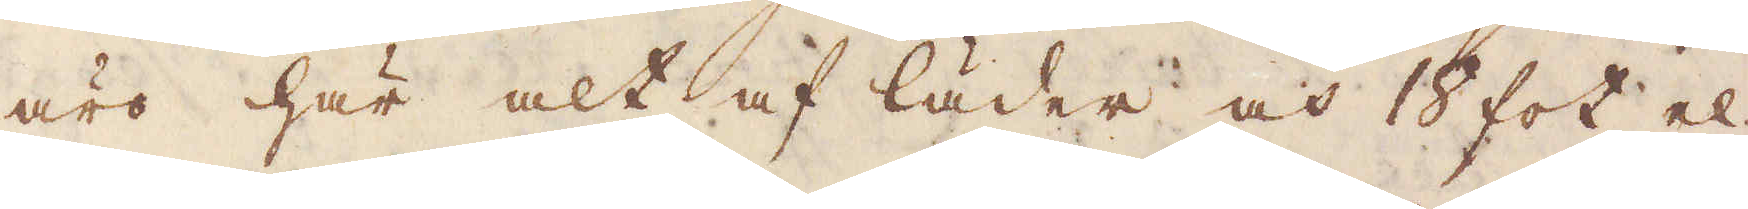äro här alt af läder och 18 fot el-
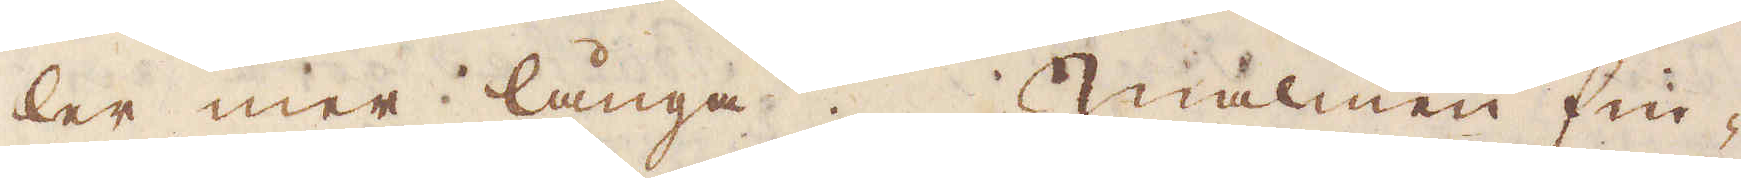ler mer långa. Malmen fin-
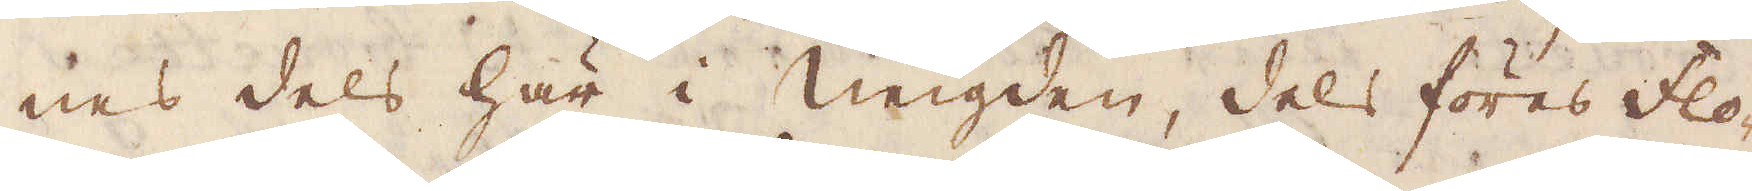nes dels här i neigden, dels föres floden
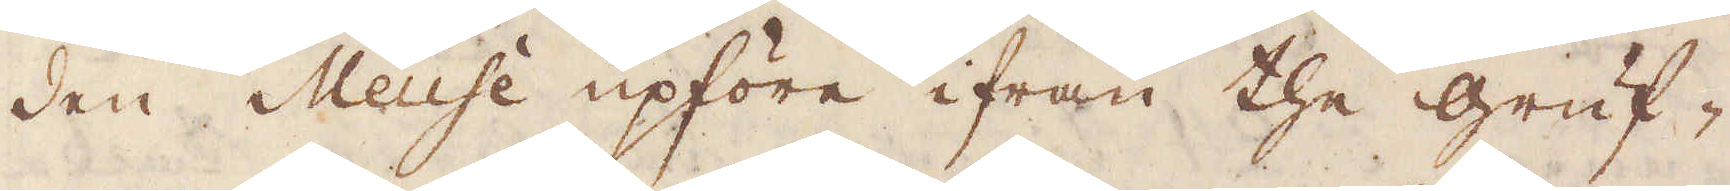Meuse upföre ifrån the gruf-
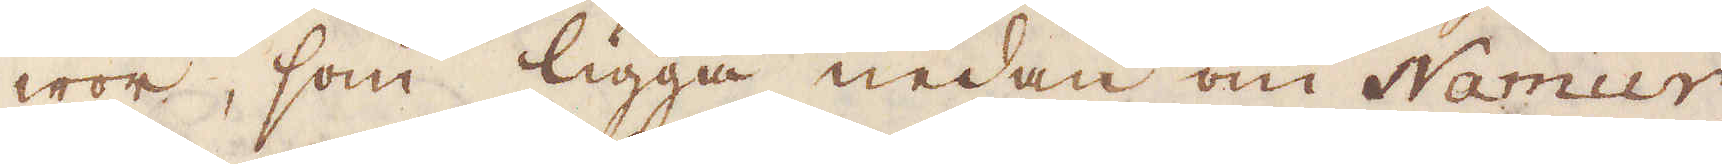wor, som ligga nedan om Namur,
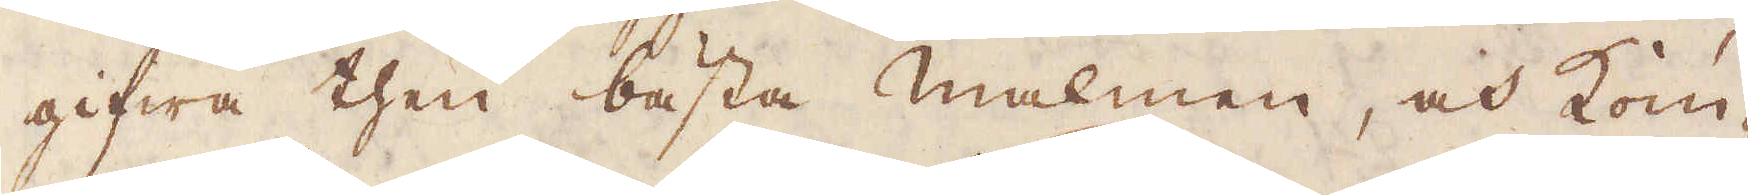gifwa then bästa malmen, och kom-
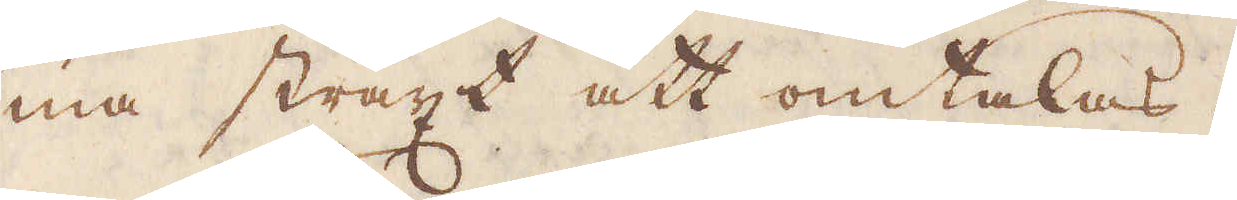ma straxt att omtalas.
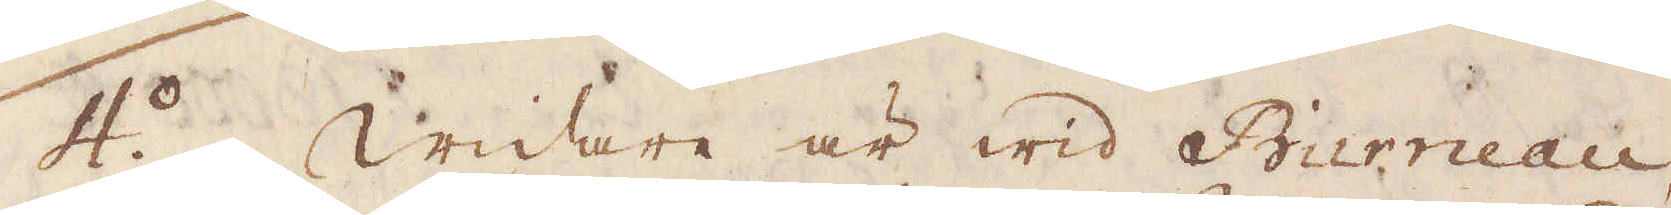4o. Widare är wid Burneau,
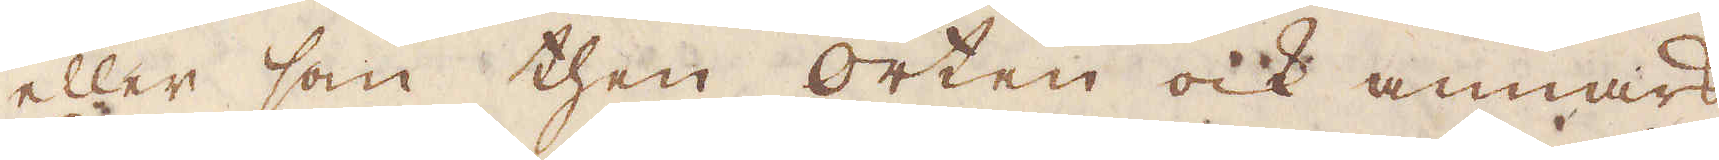eller som then orten ock annars
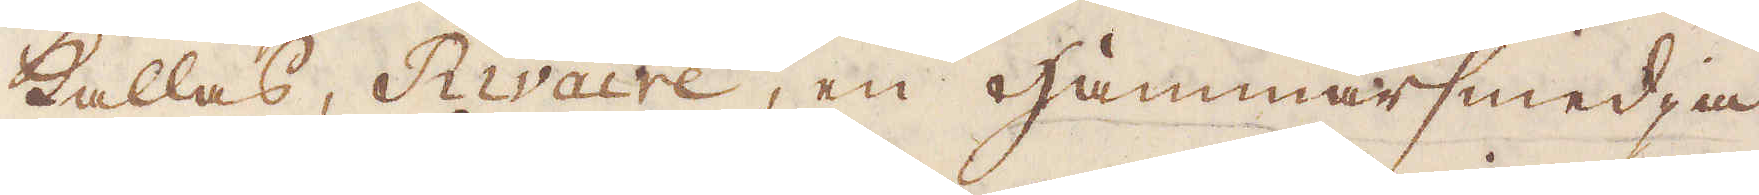kallas, Rivaire, en Hammarsmedja
